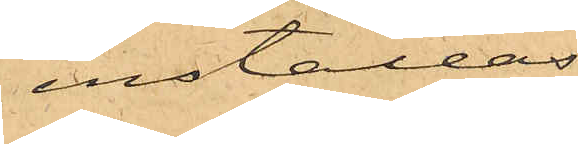inställas.
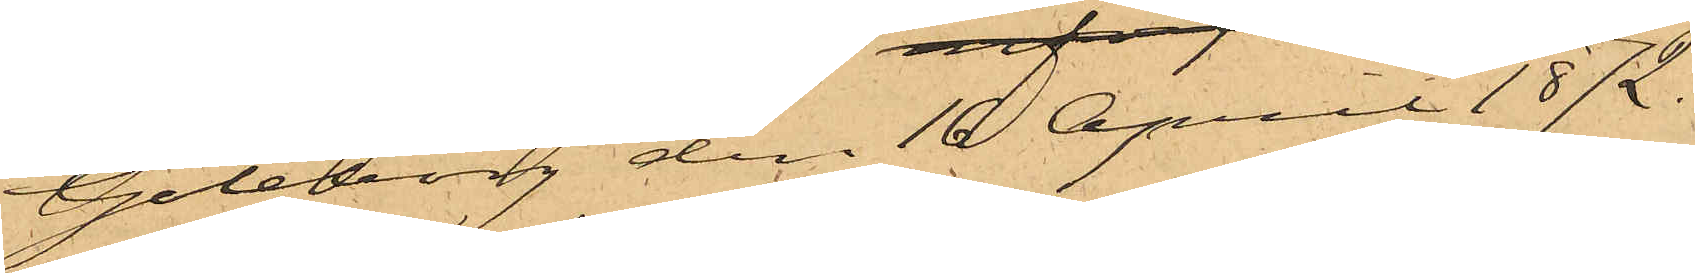Göteborg den 16 April 1872.
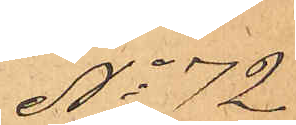No 72
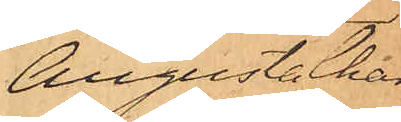Augusta Char¬
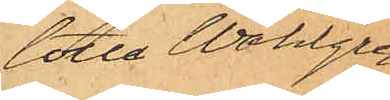lotta Wahlgren
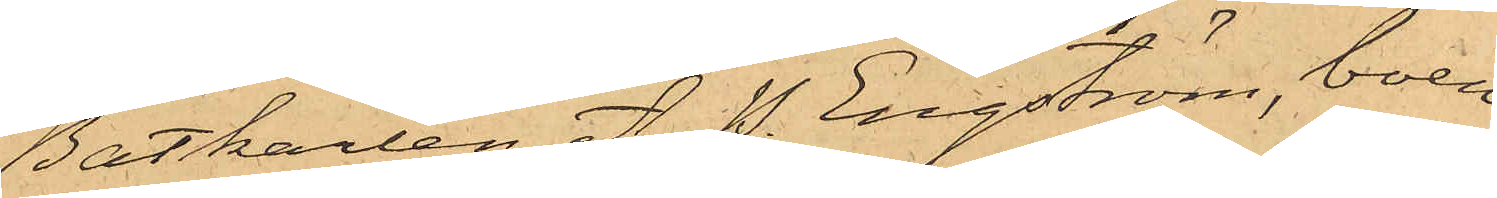Båtkarlen A. P. Engström, boen¬
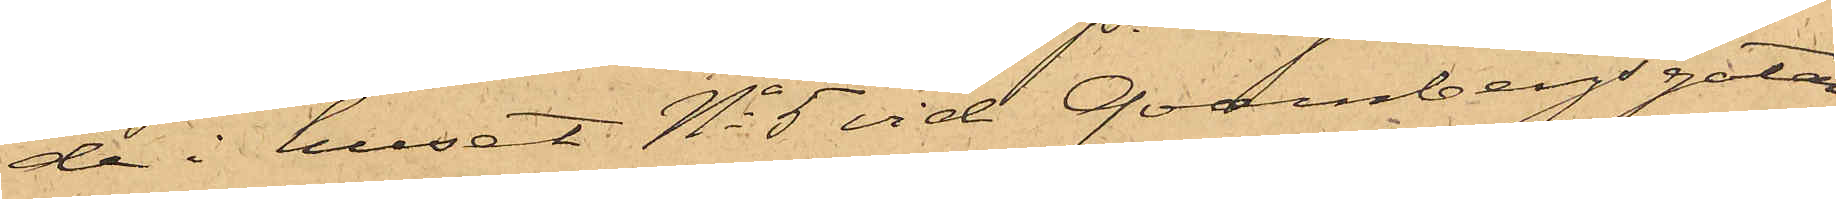de i huset No 5 vid Qvarnbergsgatan,
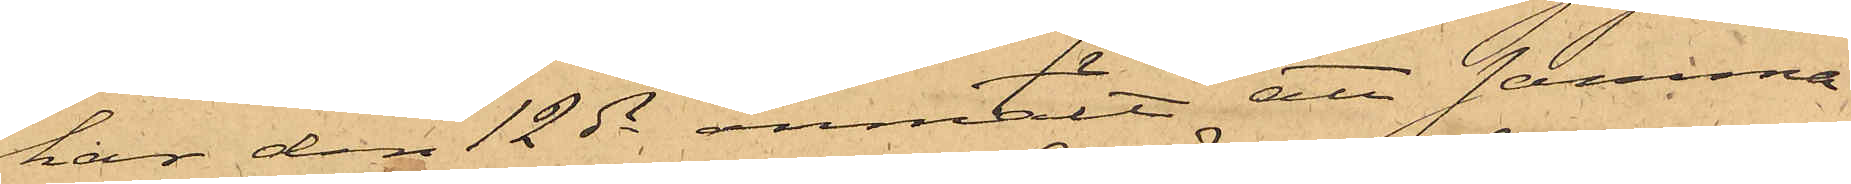har den 12 ds anmält att samma
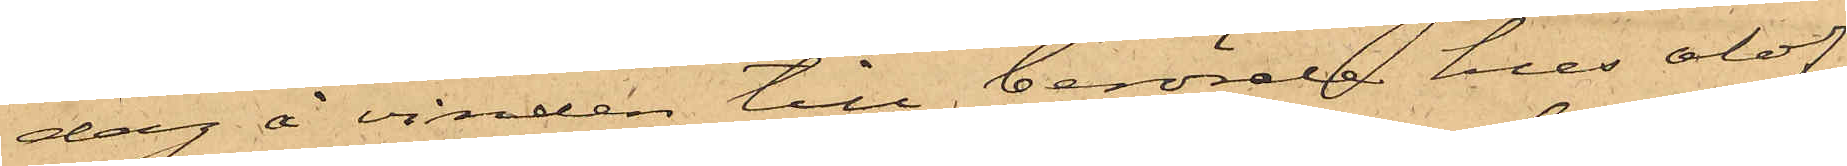dag å vinden till berörde hus olof¬
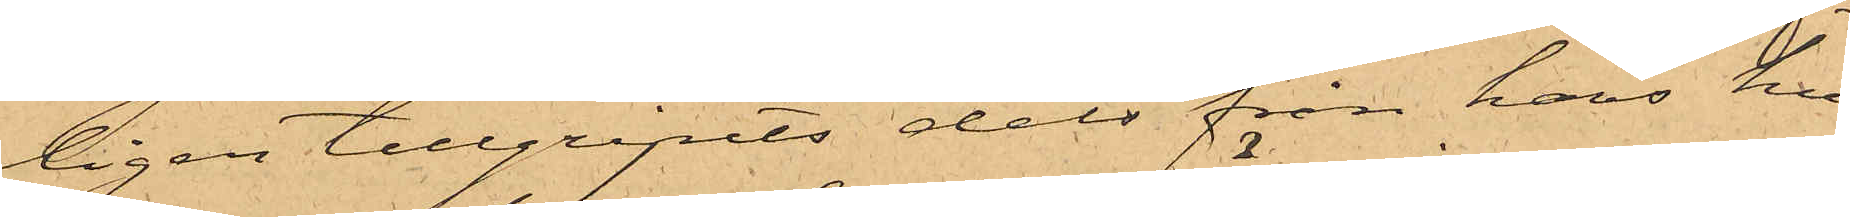ligen tillgripits dels från hans hu¬
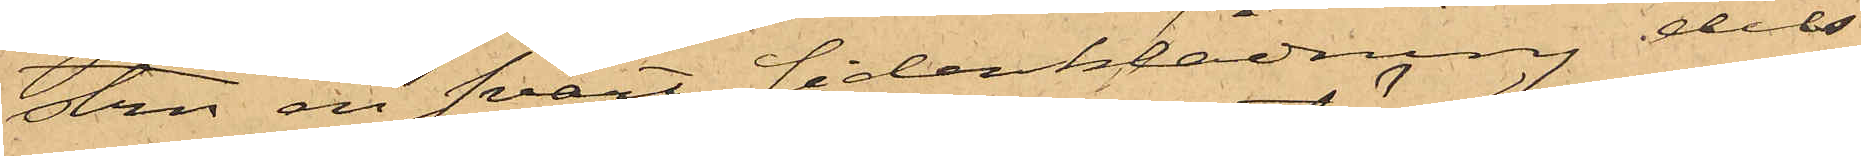tru en svart sidenklädning dels
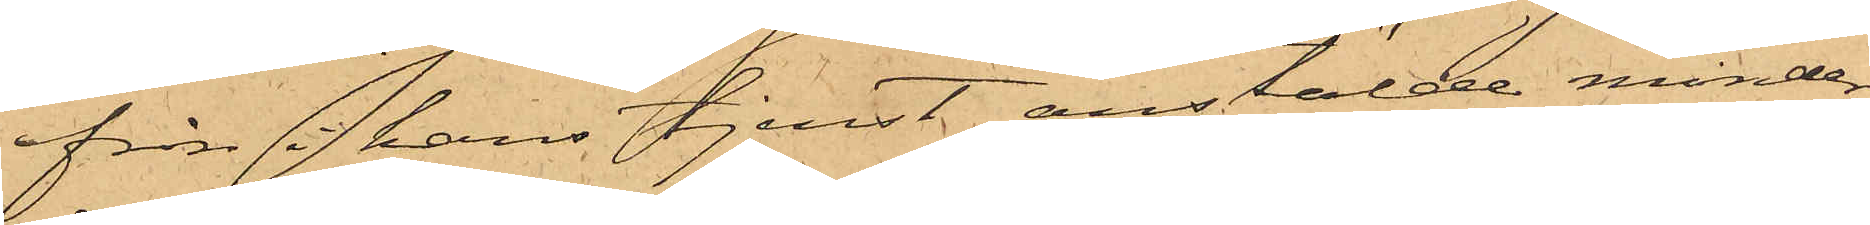från i hans tjenst anstälde minder¬
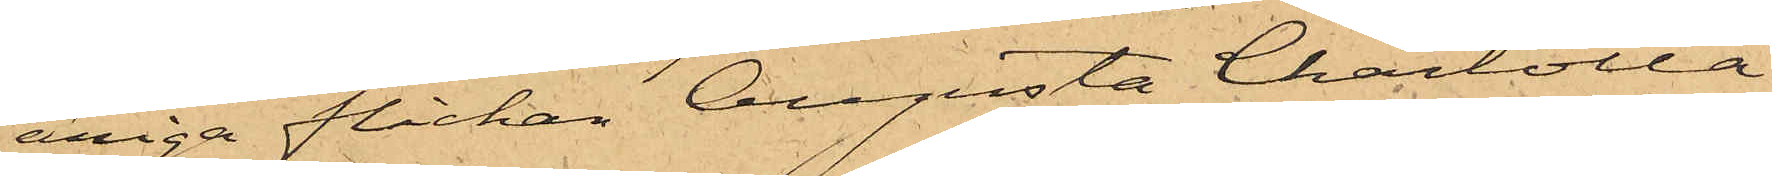åriga flickan Augusta Charlotta
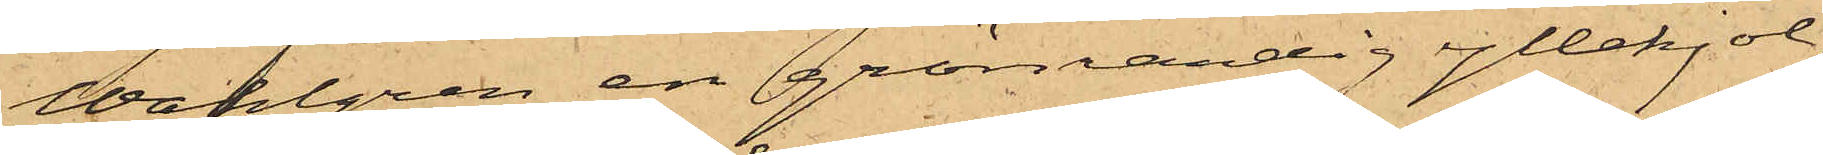Wahlgren en grönrandig yllekjol,
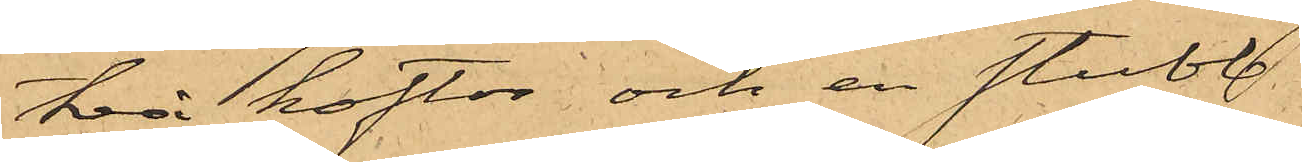två koftor och en stubb
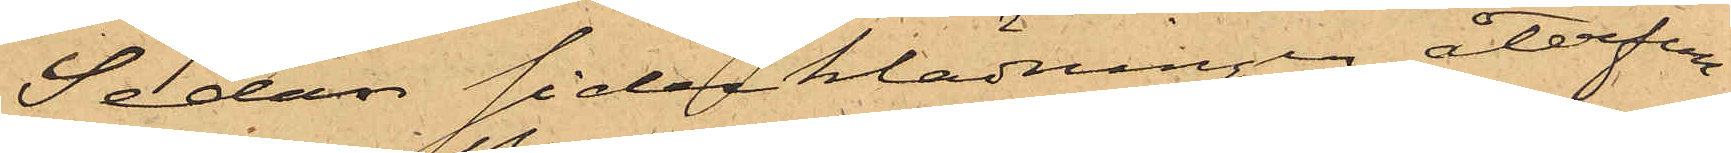Sedan sidenklädningen återfun¬
